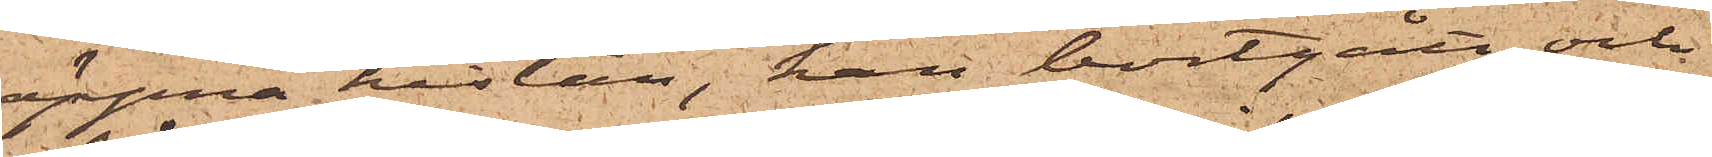öppna kistan, han bortgått och
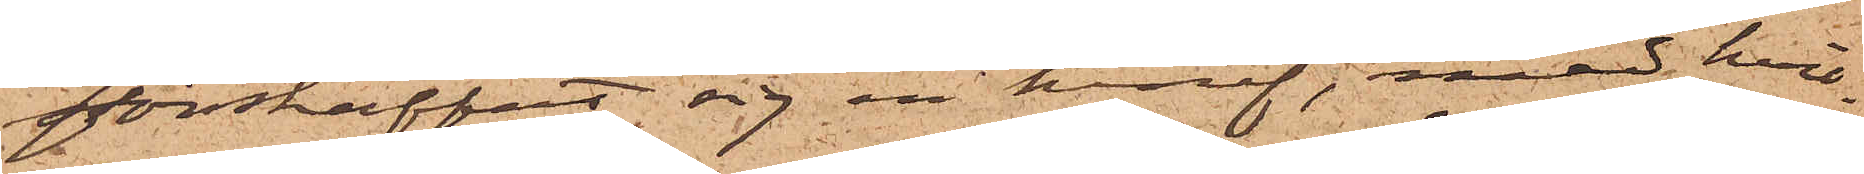förskaffat sig en knif, med hvil¬
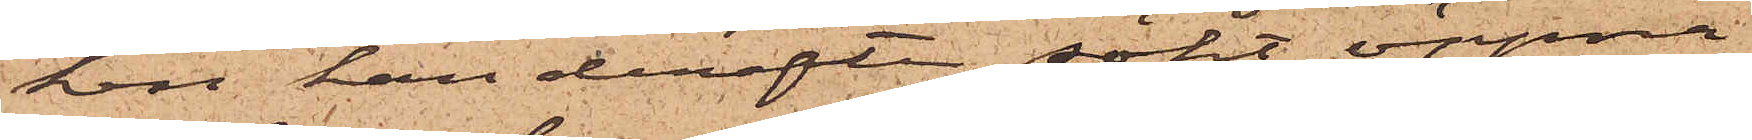ken han derefter sökt öppna
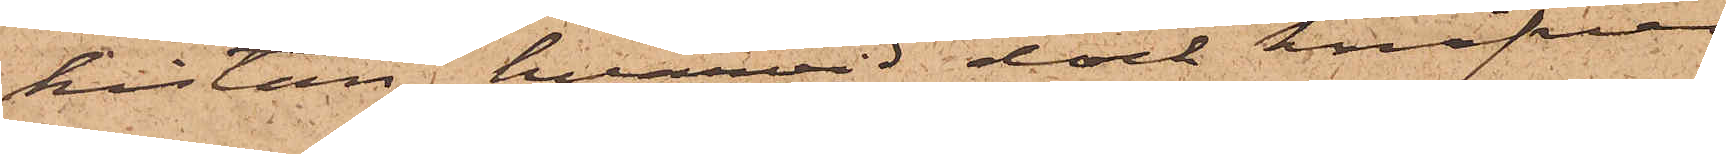kistan, hvarvid dock knifven
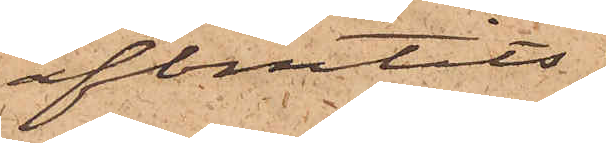afbrutits
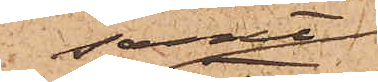samt
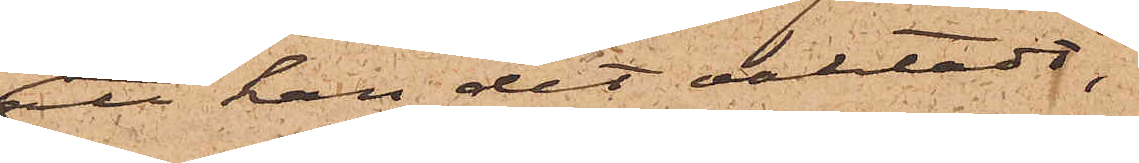att han det oaktadt,
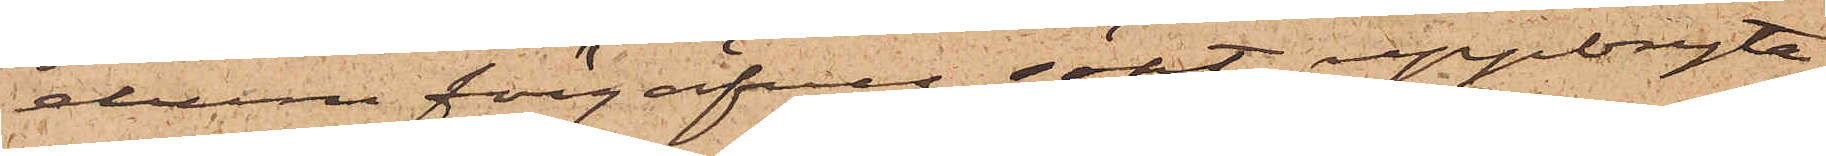ehuru förgäfves, sökt uppbryta
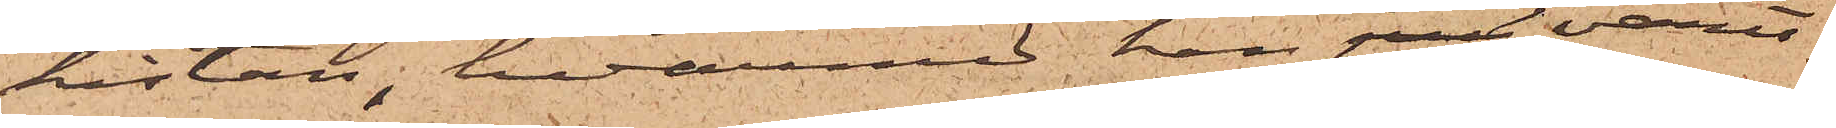kistan, hvarmed han jus varit
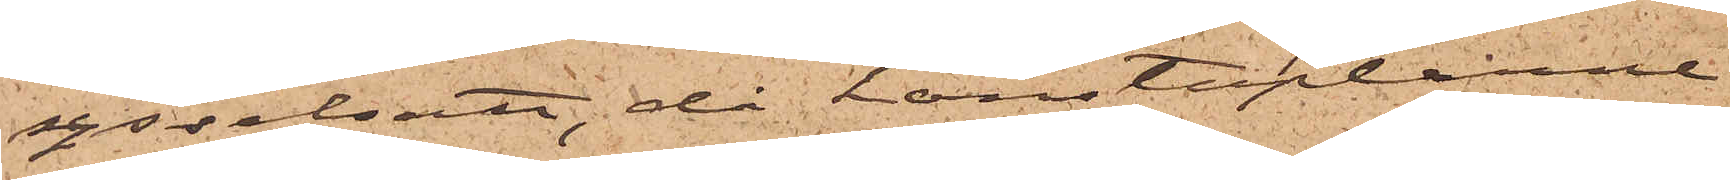sysselsatt, då konstaplarne
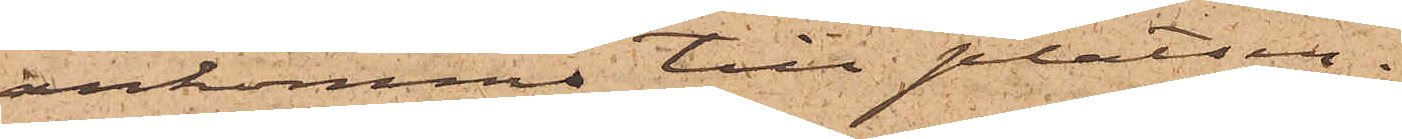ankommo till platsen.
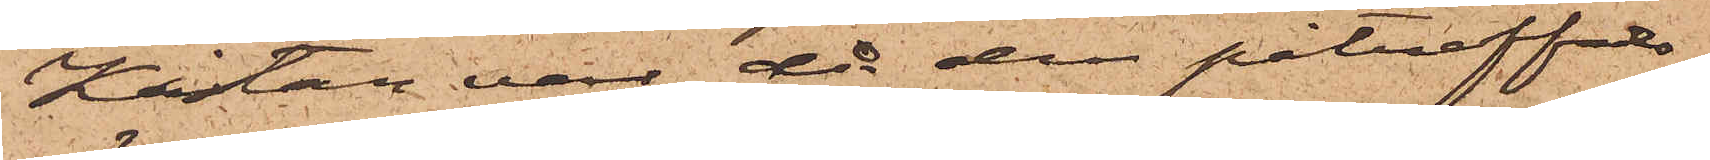Kistan var, då den påträffadts
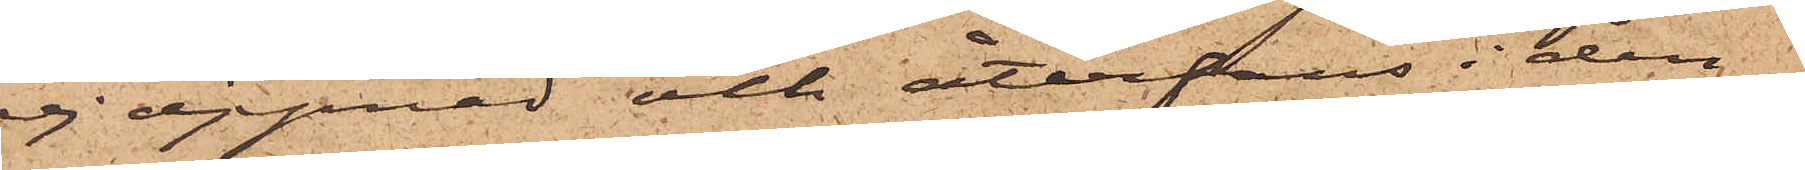ej öppnad och återfans i den¬
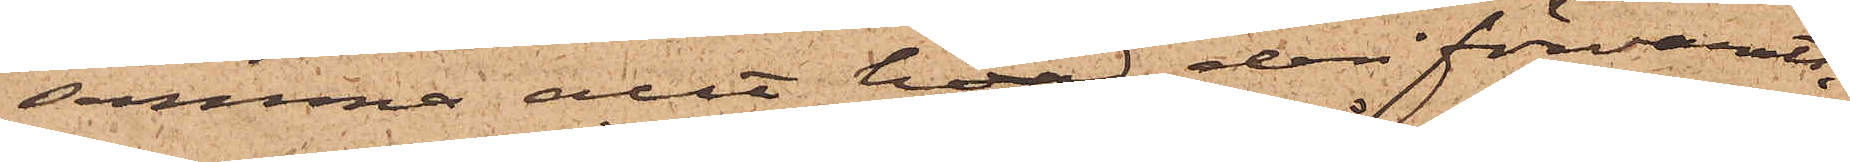samma allt hvad deri förvarats,
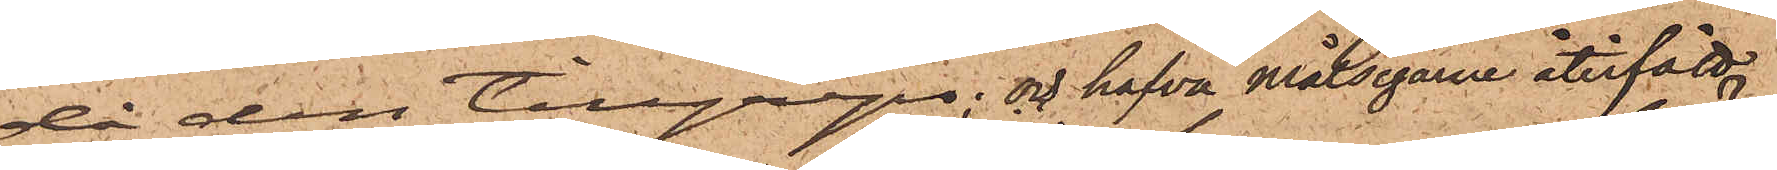då den tillgreps; och hafva Målsegarne återfått
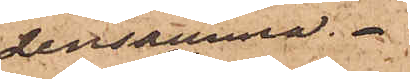densamma.
